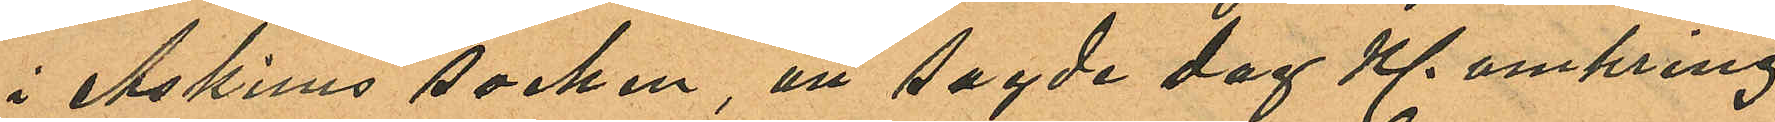i Askims socken, att sagde dag Kl. omkring
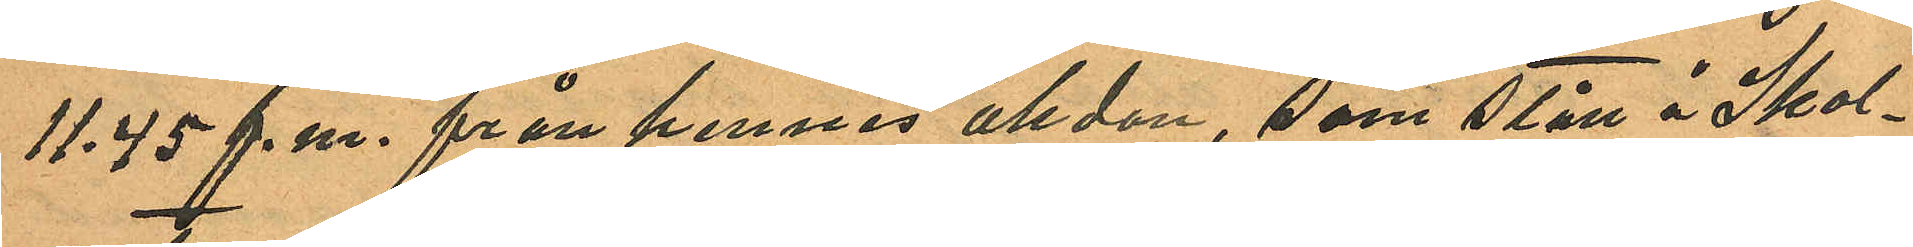11.45 f.m. från hennes åkdon, som stått å Skol¬
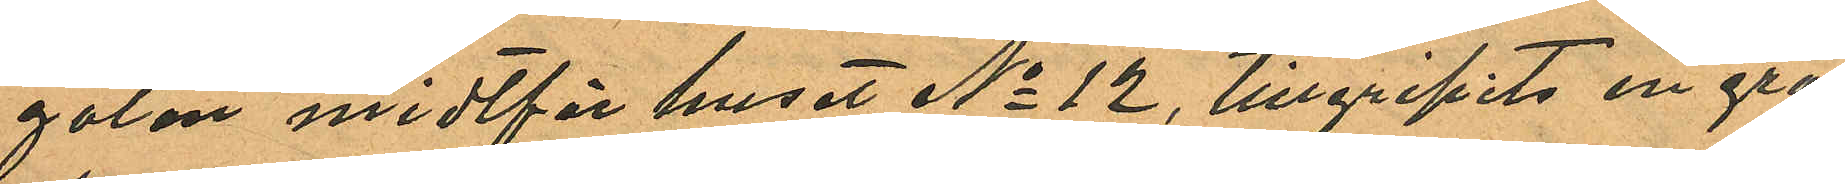gatan midtför huset No 12, tillgripits en grå
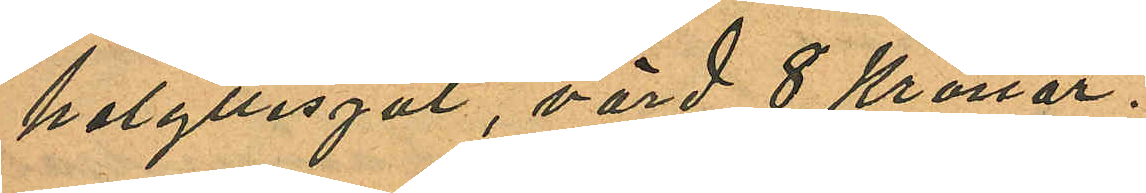helyllesjal, värd 8 Kronor.
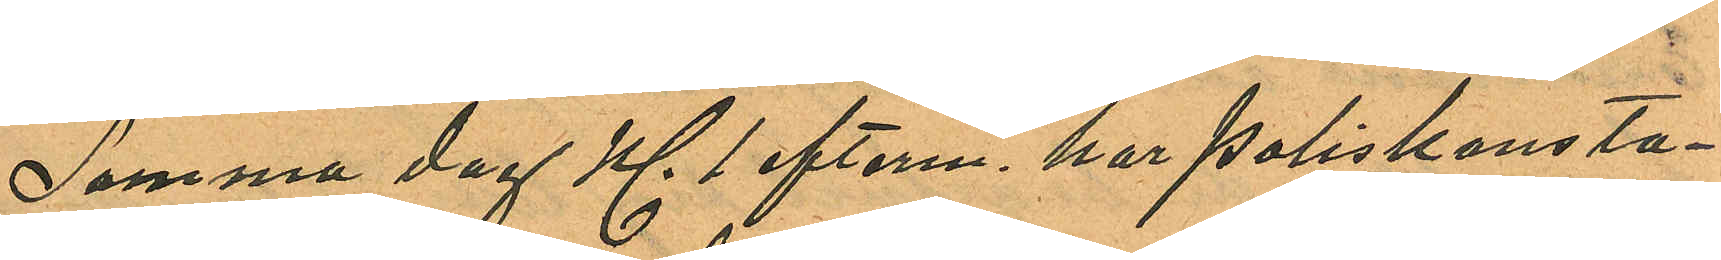Samma dag Kl. 1 efterm. har Poliskonsta¬
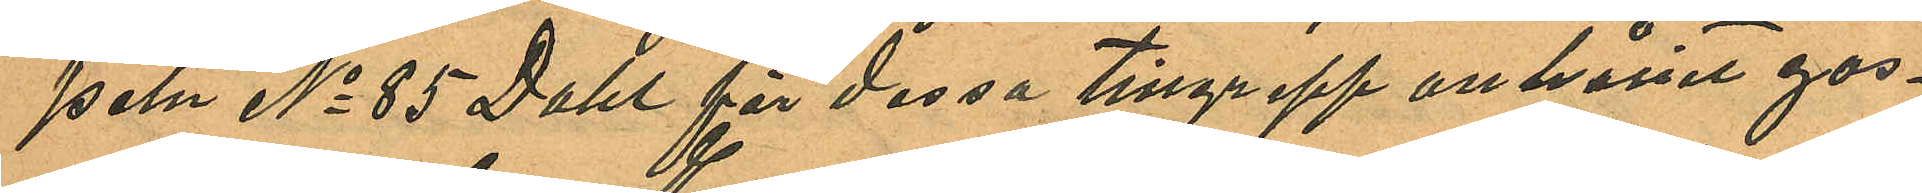peln No 85 Dahl för dessa tillgrepp anhållit gos¬
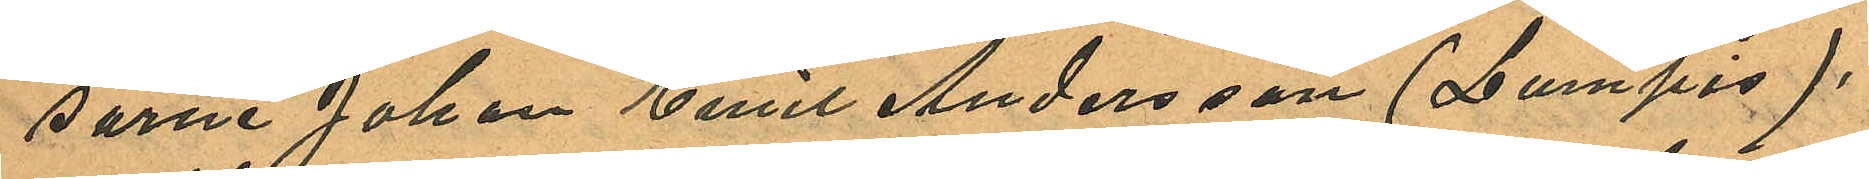sarne Johan Emil Andersson (Lumpis),
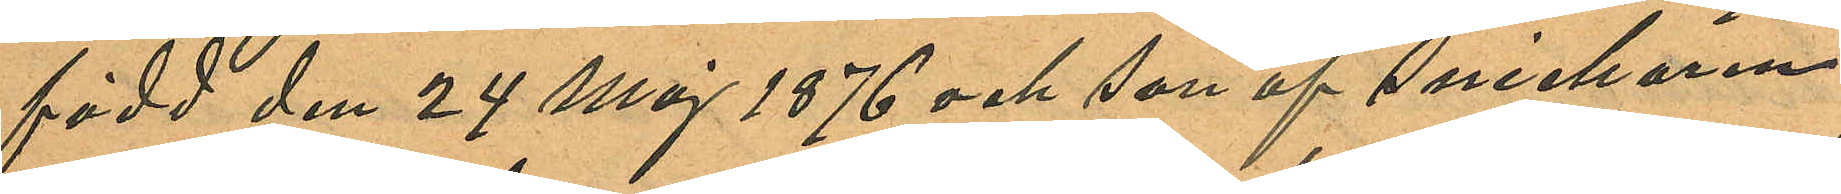född den 24 Maj 1876 och son af Snickaren
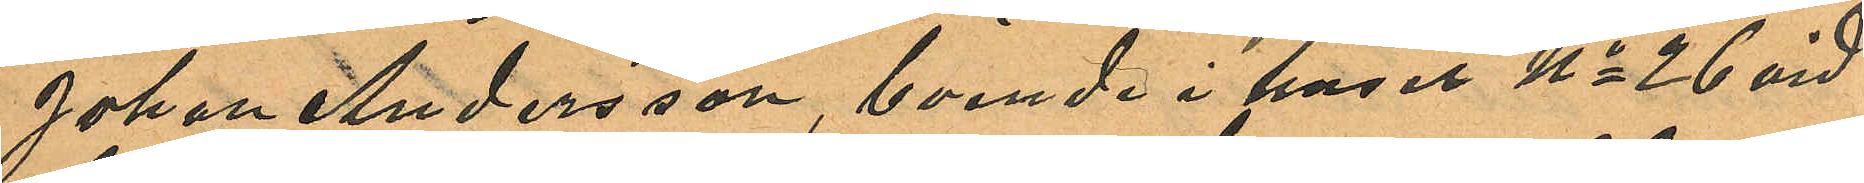Johan Andersson, boende i huset No 26 vid
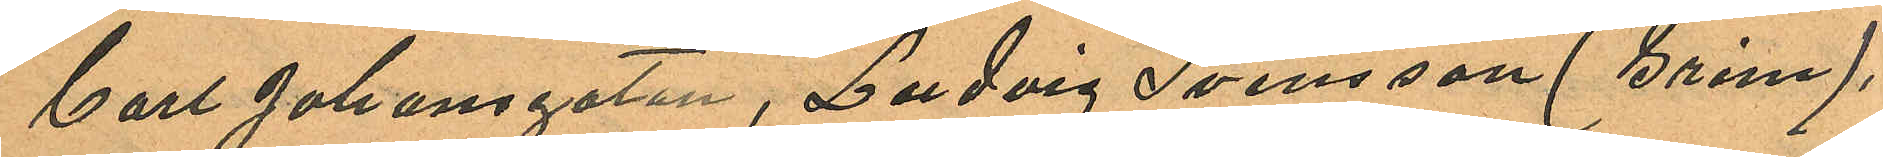Carl Johansgatan, Ludvig Svensson (Grine),
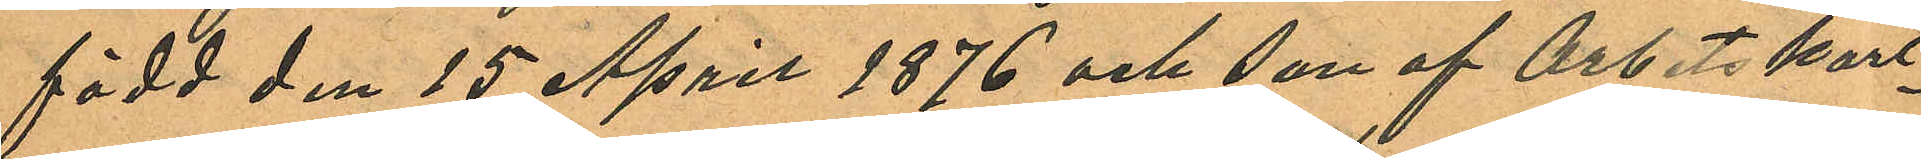född den 15 April 1876 och son af Arbetskarl¬
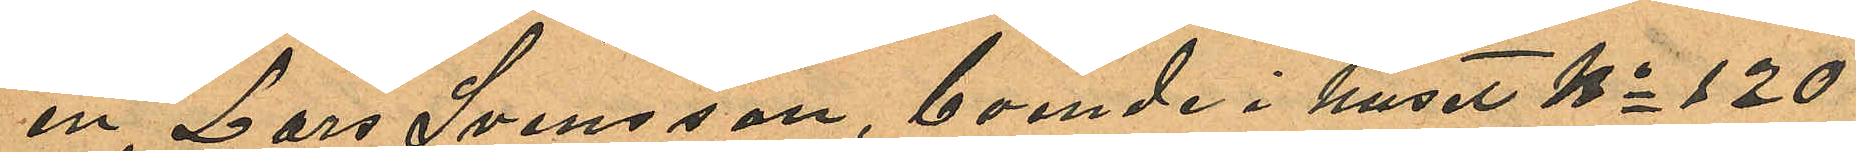en Lars Svensson, boende i huset No 120
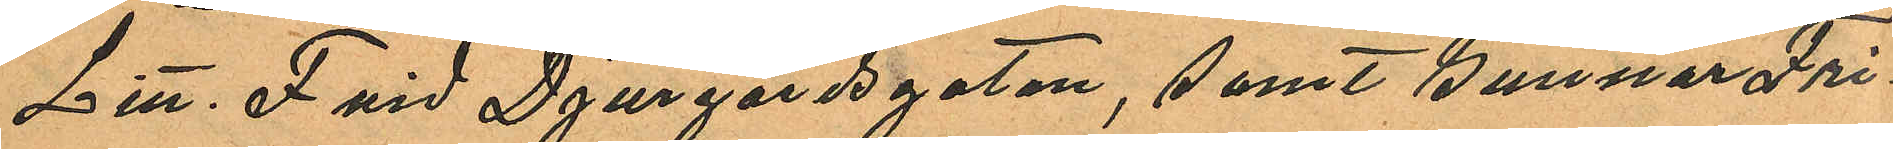Litt. F vid Djurgårdsgatan, samt Gunnar Fri¬
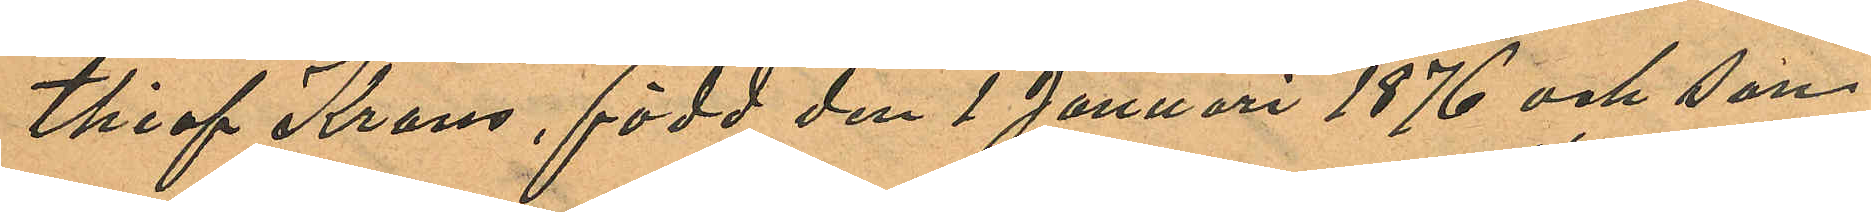thiof Krans, född den 1 Januari 1876 och son
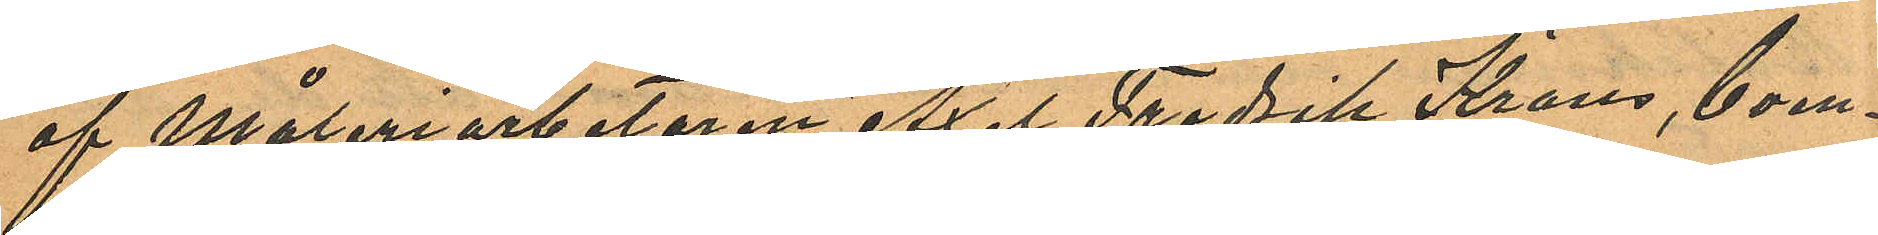af Måleriarbetaren Axel Fredrik Krans, boen¬
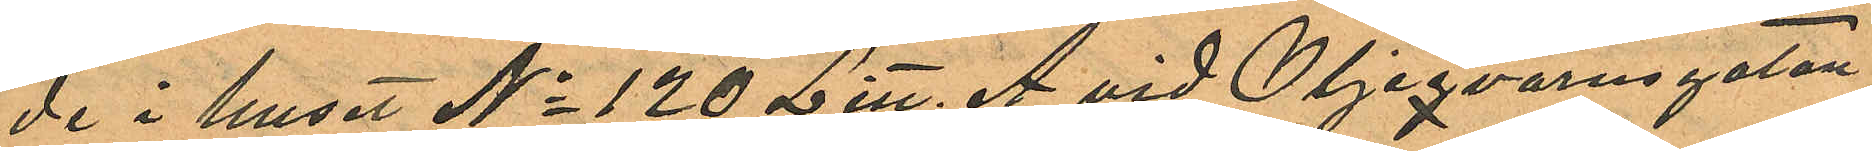de i huset No 120 Litt. A vid Oljeqvarnsgatan
